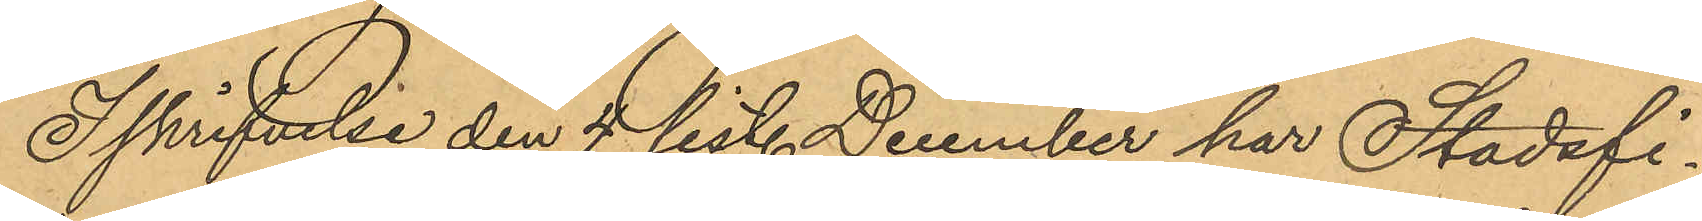I skrifvelse den 4 sist. December har Stadsfi¬
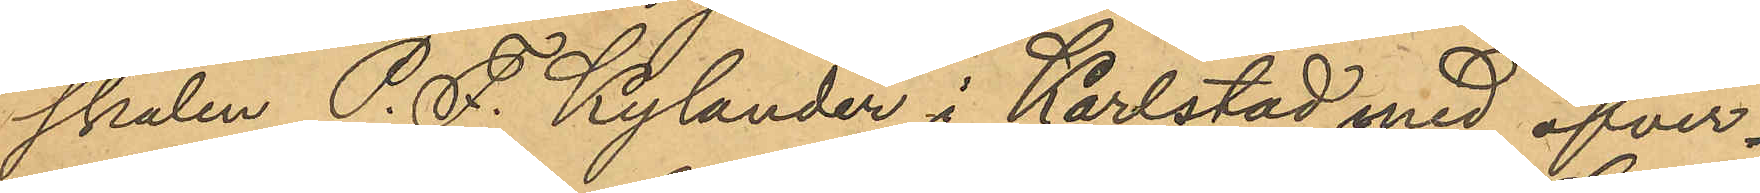skalen P. F. Kylander i Karlstad med öfver¬
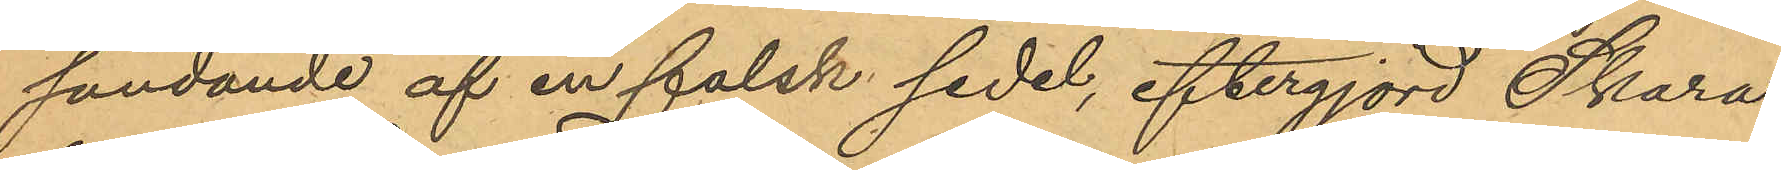sändande af en falsk sedel, eftergjord Skara¬
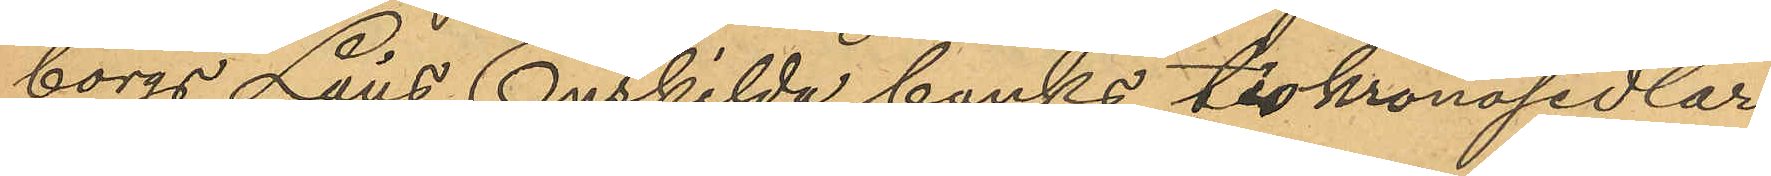borgs Läns Enskilda banks tiokronosedlar,
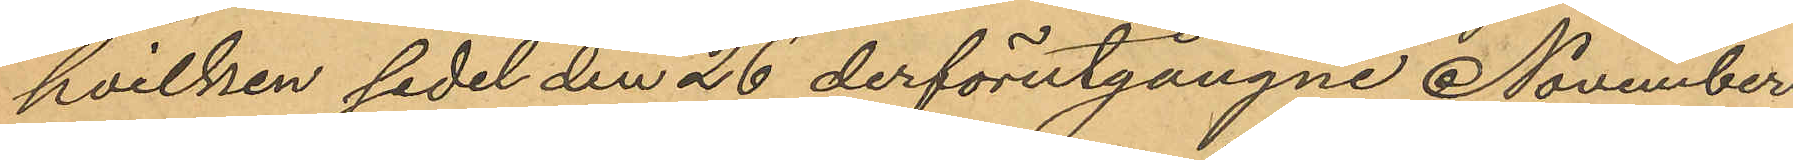hvilken sedel den 26 derförutgångne November
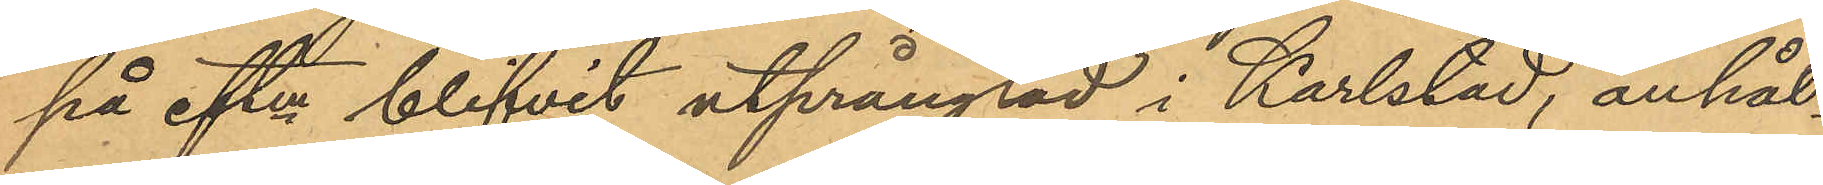på eftm blifvit utprånglad i Karlstad, anhål¬
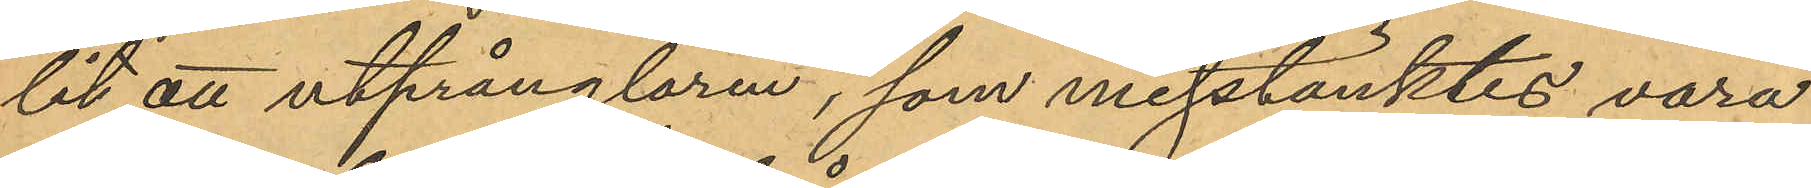lit att utprånglaren, som misstänktes vara
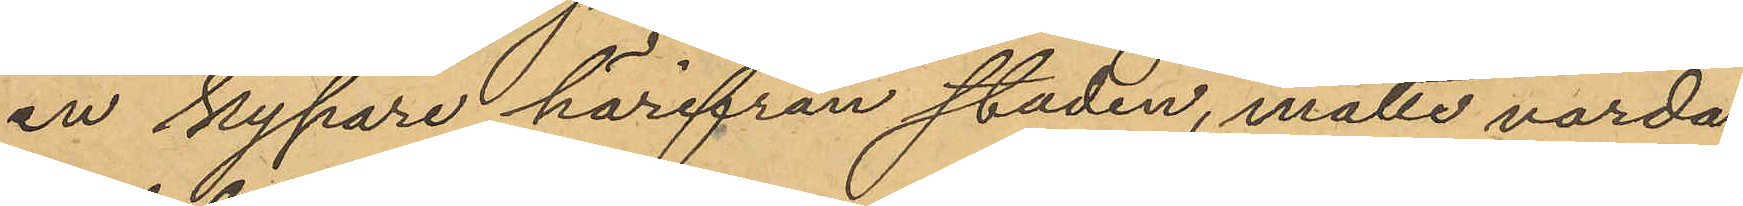en kypare härifrån staden, måtte varda
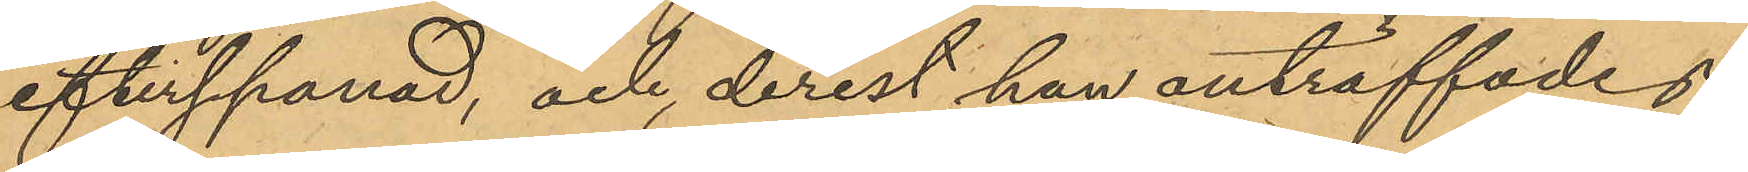efterspanad, och derest han anträffades,
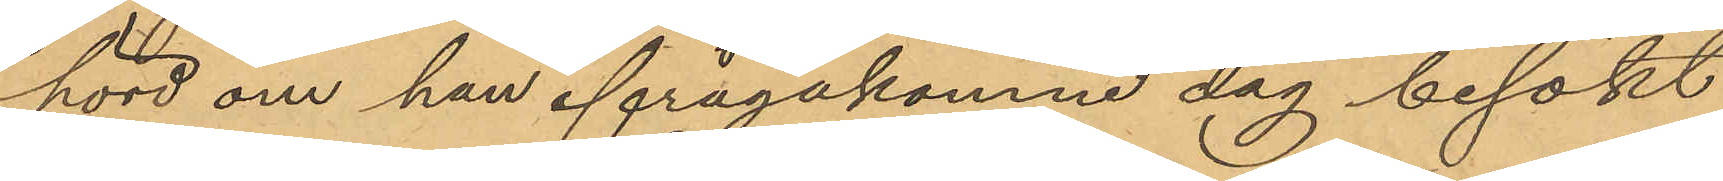hörd om han ifrågakomne dag besökt
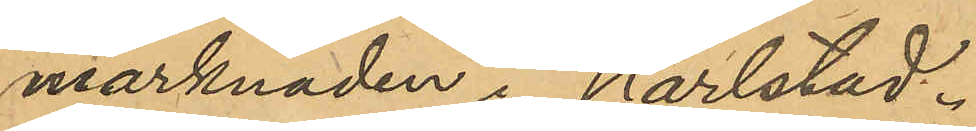marknaden i Karlstad.
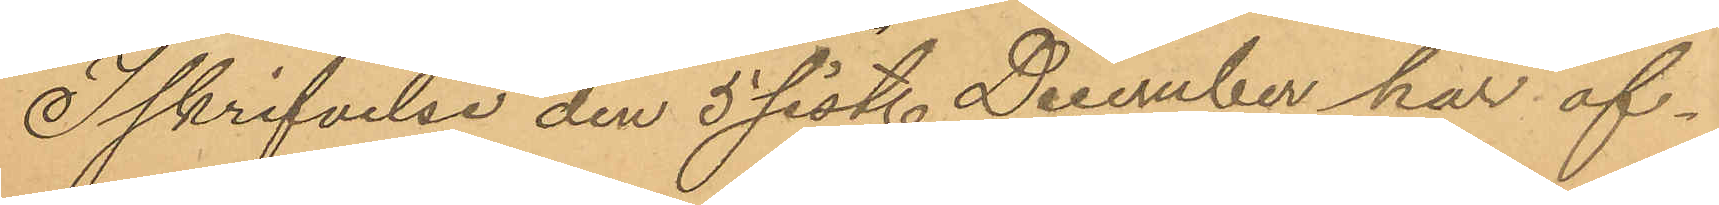I skrifvelse den 5 sist. December har af
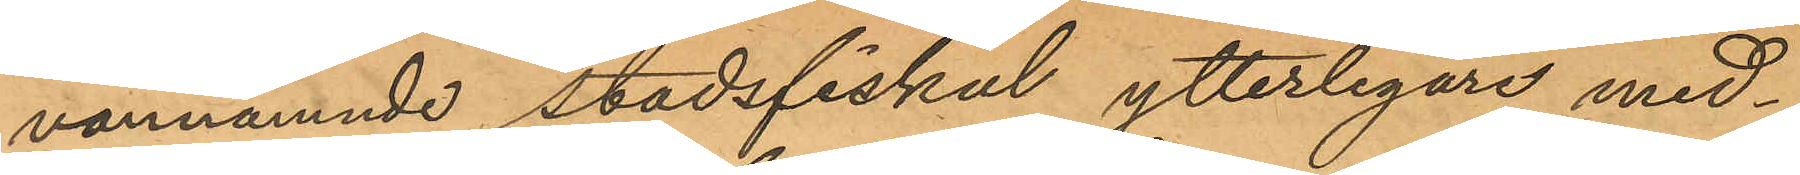ovannämnde stadsfiskal ytterligare med¬
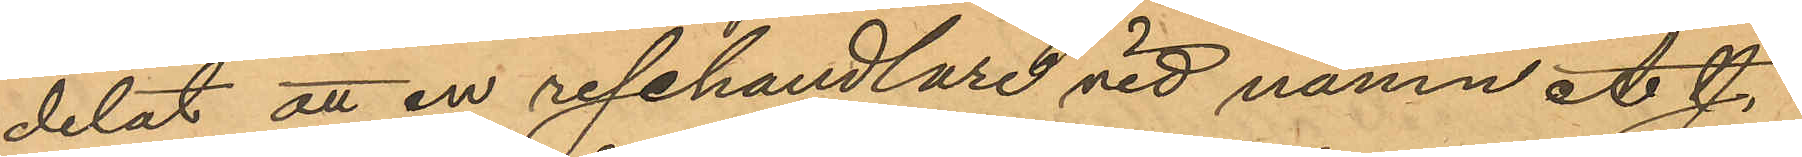delat att en resehandlare vid namn A. J.
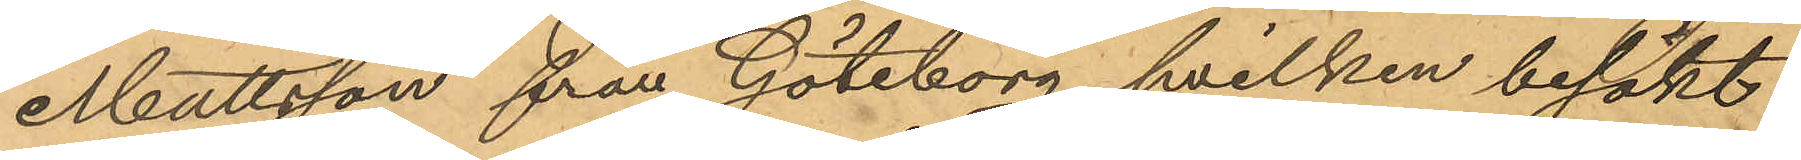Mattsson från Göteborg, hvilken besökt
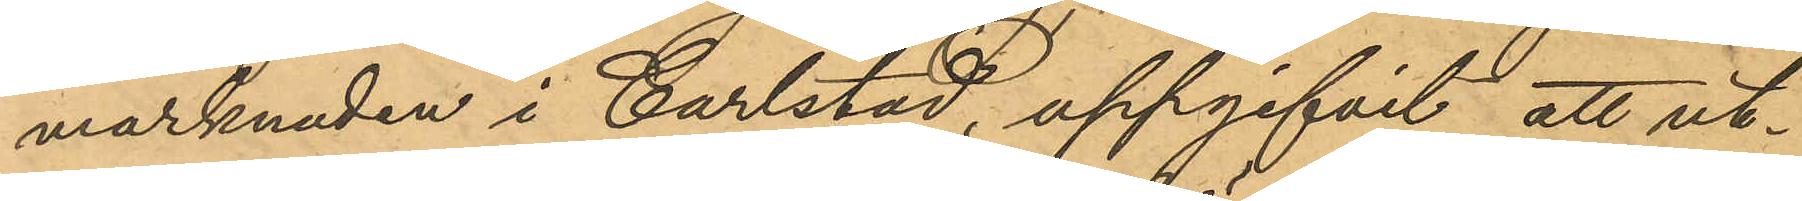marknaden i Carlstad, uppgifvit att ut¬
